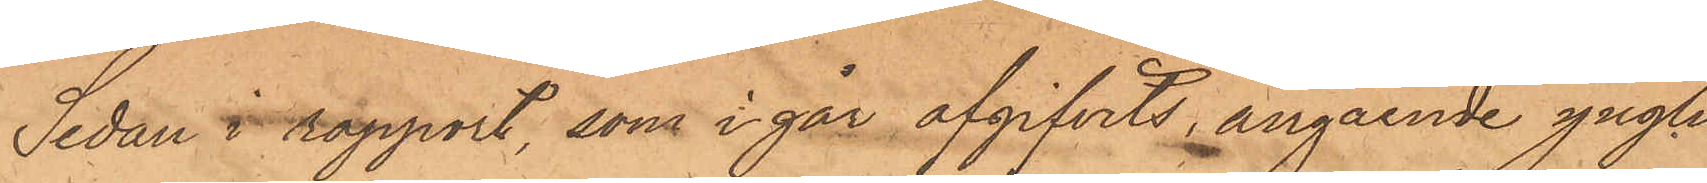Sedan i rapport, som i går afgifvits, angående yngli¬
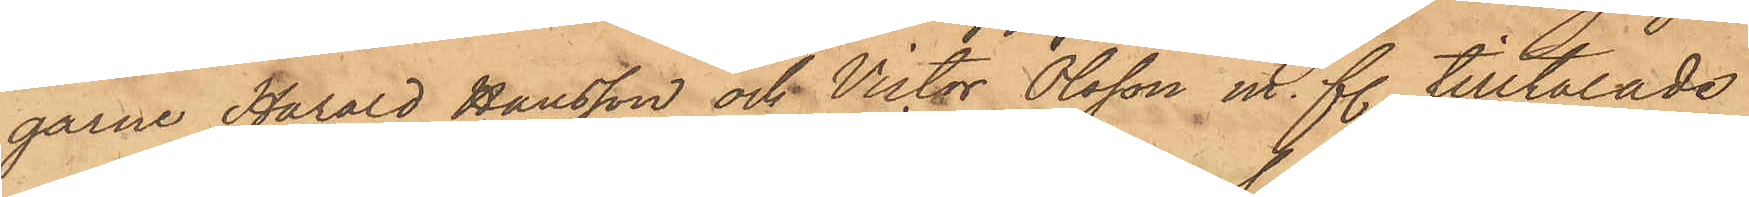garne Harald Hansson och Victor Olsson m. fl. tilltalade
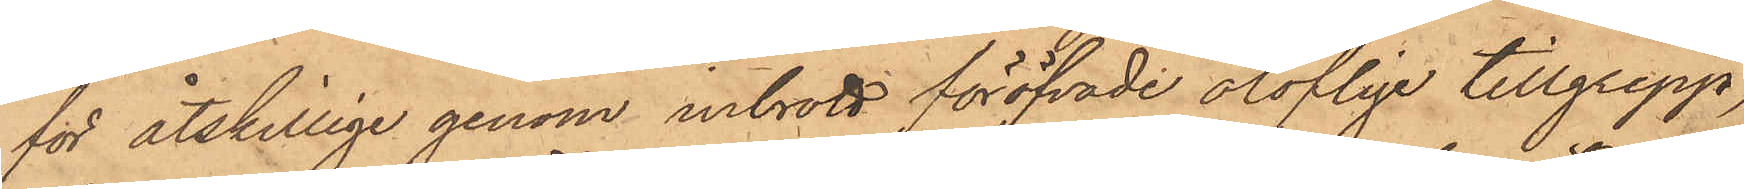för åtskillige genom inbrott föröfvade oloflige tillgrepp,
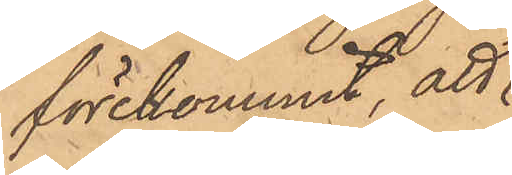förekommit, att
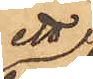ett 
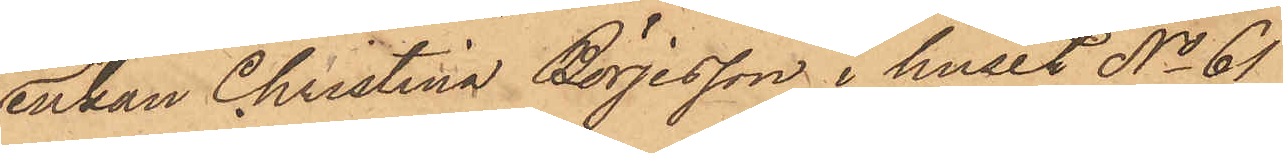enkan Christina Börjesson i huset No 61
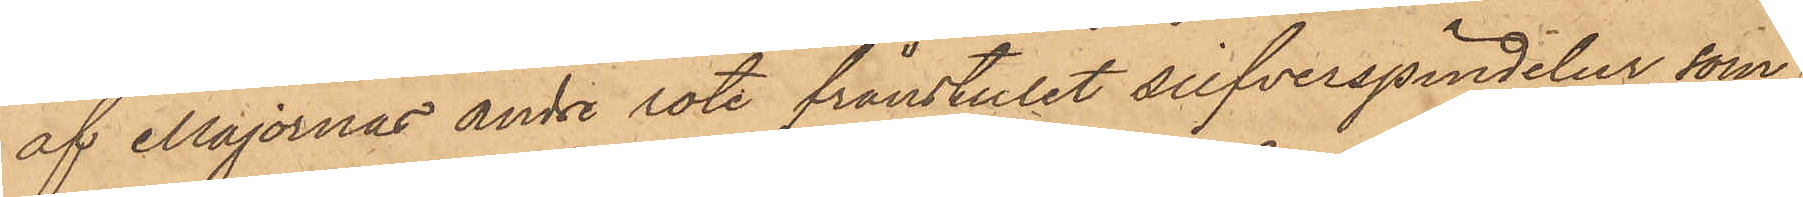af Majornas andre rote frånstulet silfverspindelur, som¬
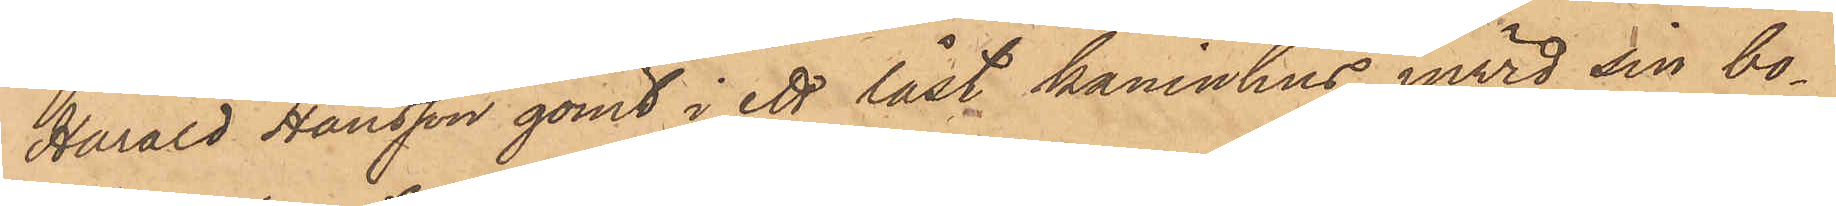Harald Hansson gömt i ett låst kaninhus invid sin bo¬
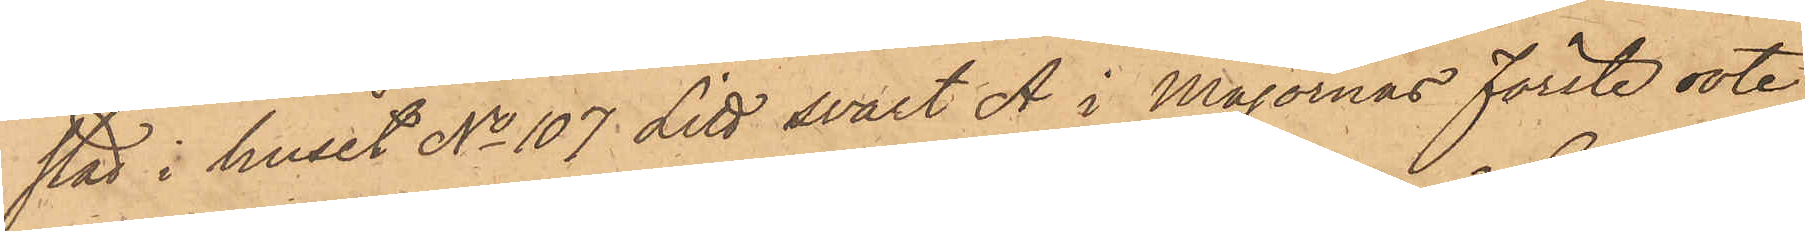stad i huset No 107 Litt svart A i Majornas Förste rote
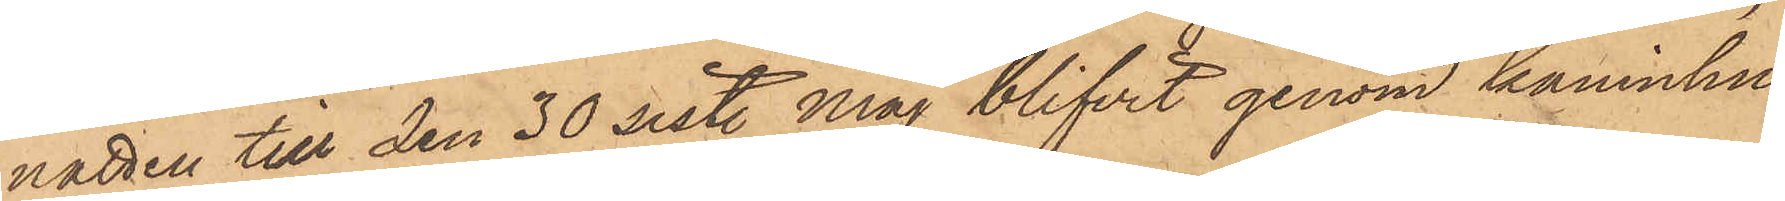natten till den 30 sist. Maj blifvit genom kaninhu¬
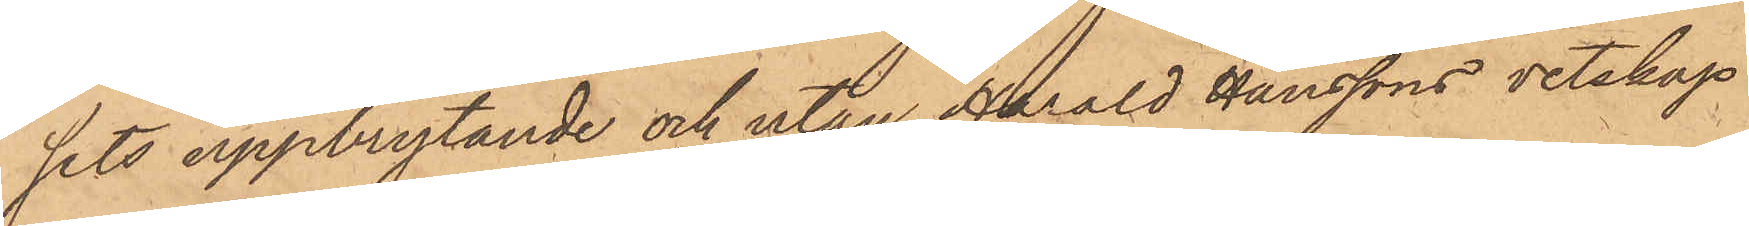sets uppbrytande och utan Harald Hanssons vetskap
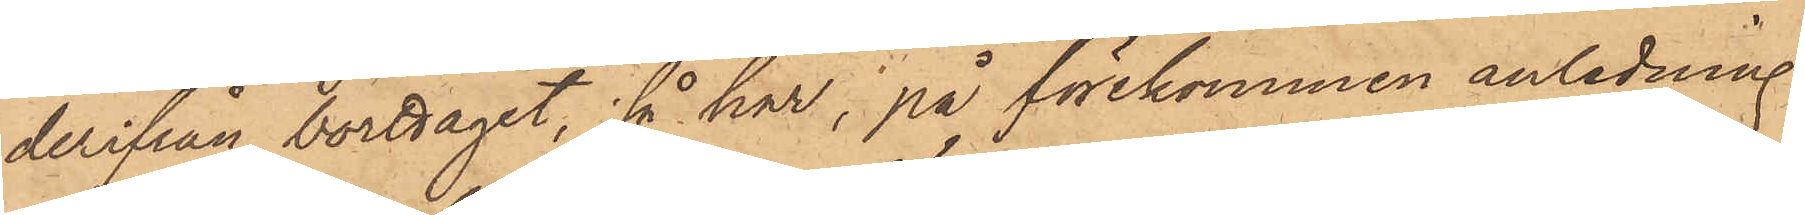derifrån borttagit, så har, på förekommen anledning
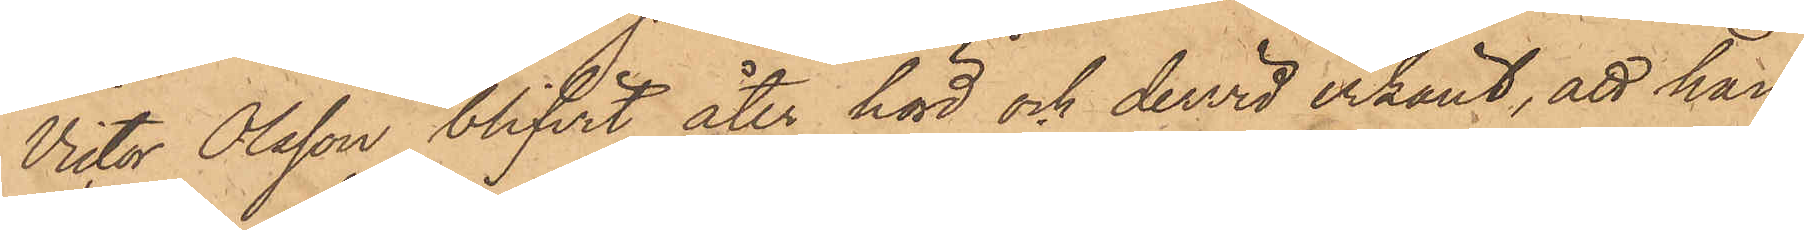Victor Olsson blifvit åter hörd och dervid erkänt, att han
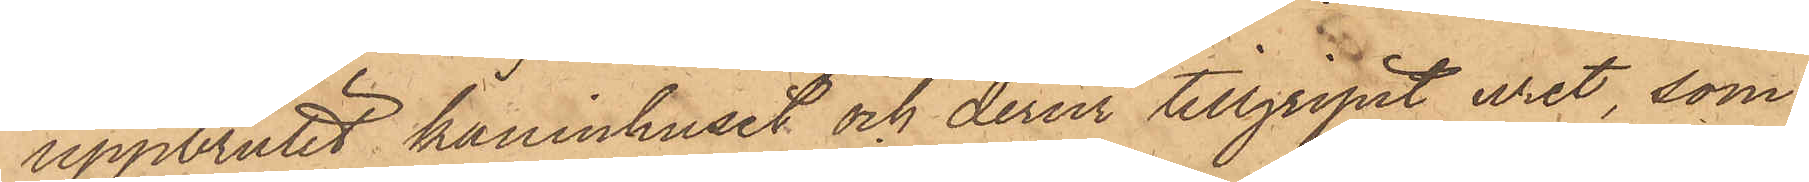uppbrutit kaninhuset och derur tillgripit uret, som
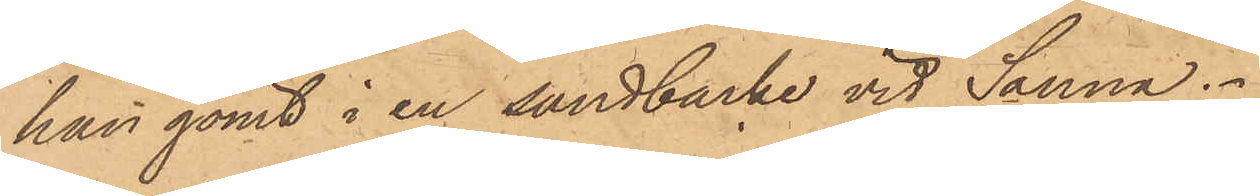han gömt i en sandbacke vid Sanna.
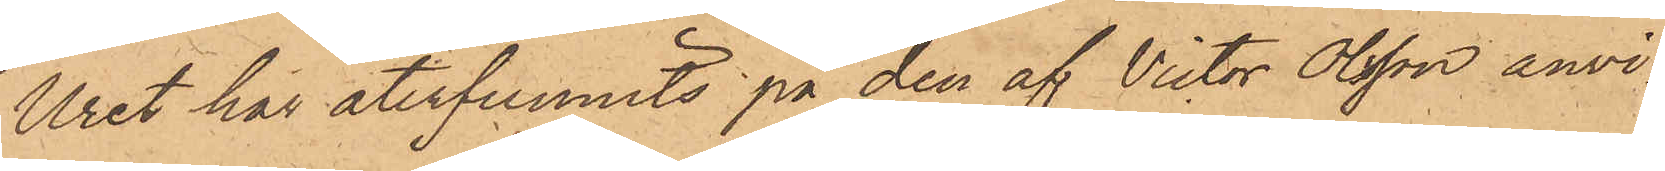Uret har återfunnits på den af Victor Olsson anvi¬
